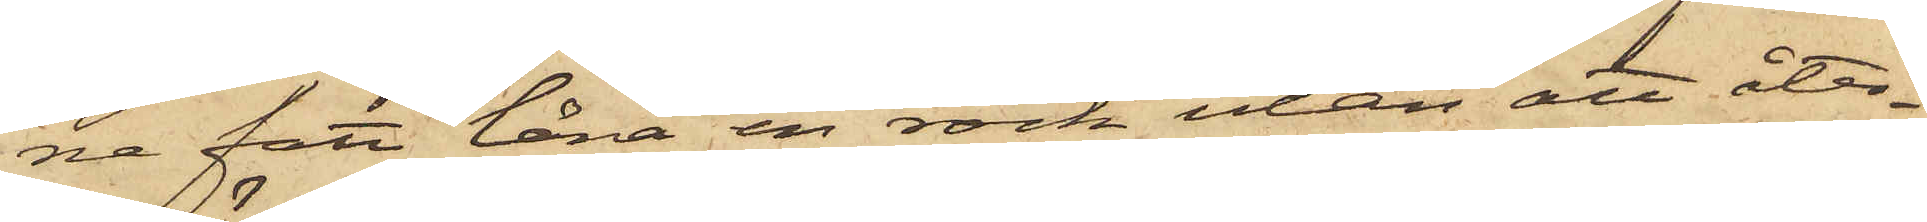ne fått låna en rock utan att åter¬
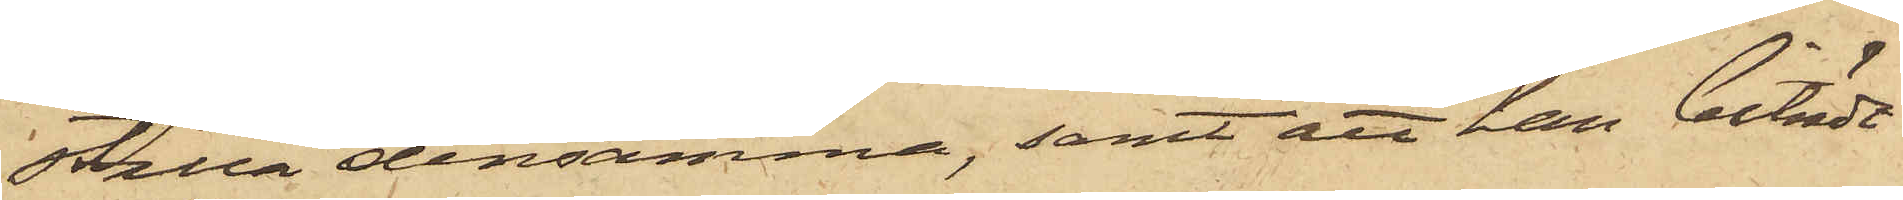ställa densamma, samt att han biträdt
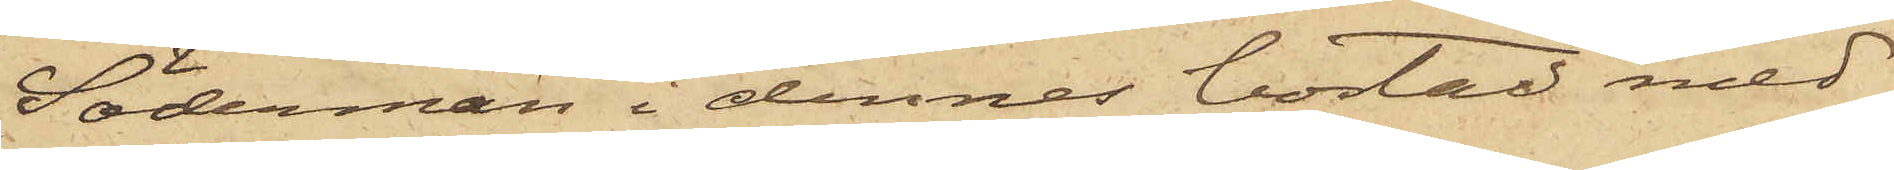Söderman i dennes bostad med
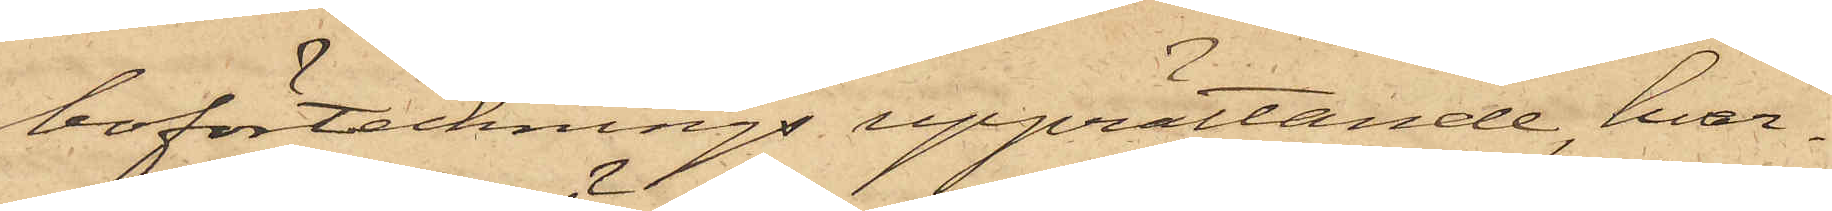boförtecknings upprättande, hvar¬
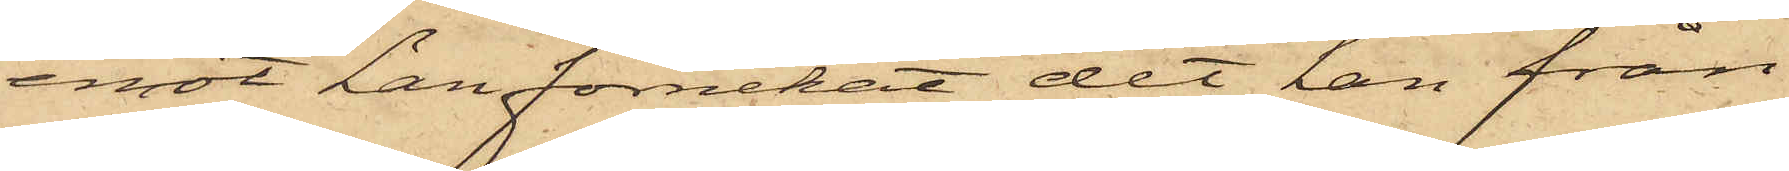emot han förnekat det han från
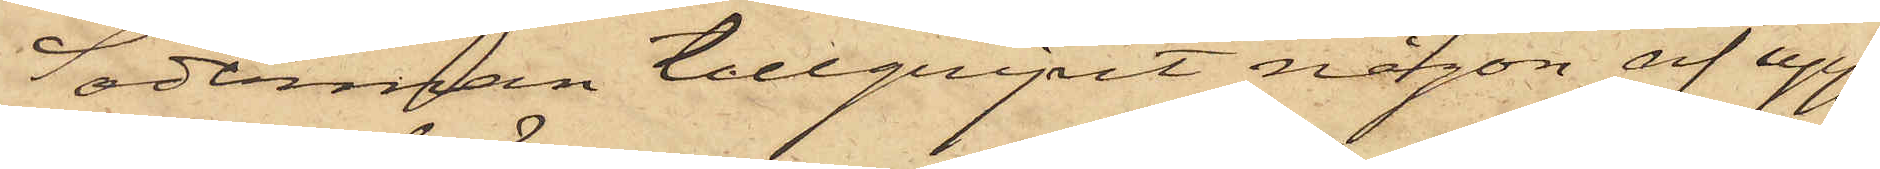Söderman tillgripit någon af upp¬
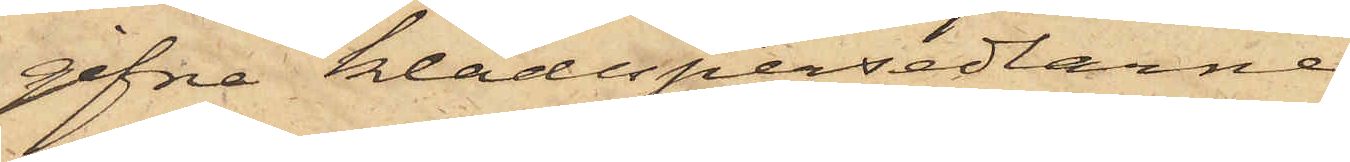gifne klädespersedlarne.
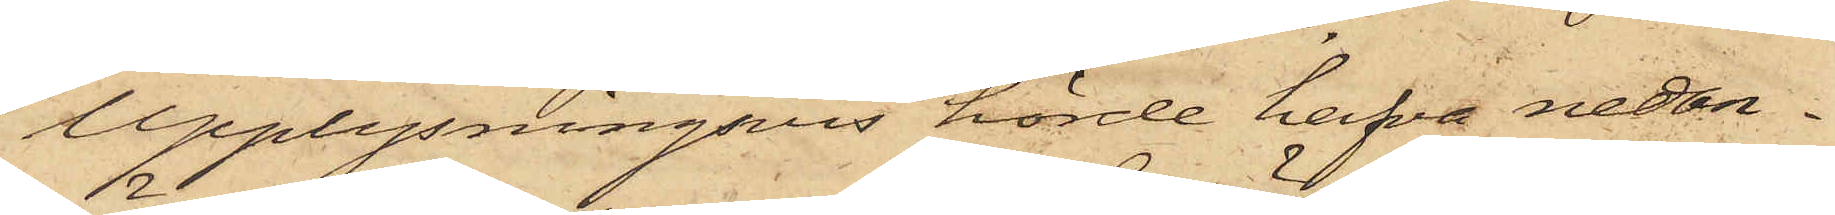Upplysningsvis hörde hafva nedan¬
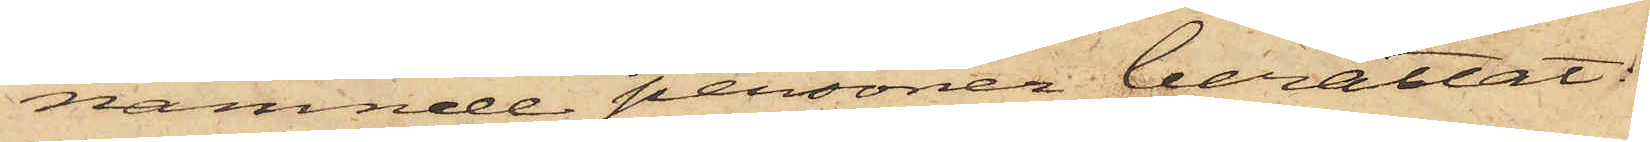nämnde personer berättat;
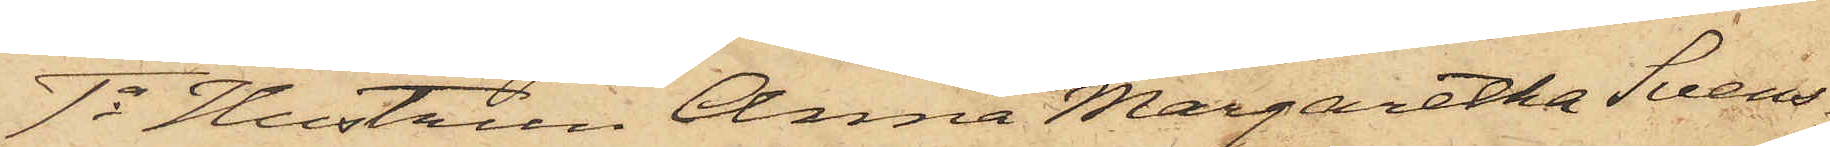1o Hustrun Anna Margaretha Svens¬
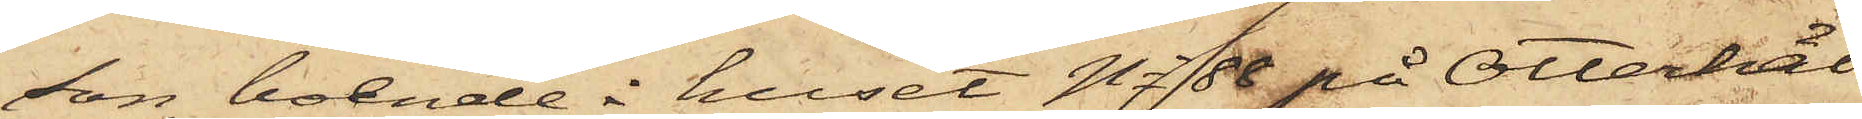son, boende i huset No 88 på Otterhäl¬
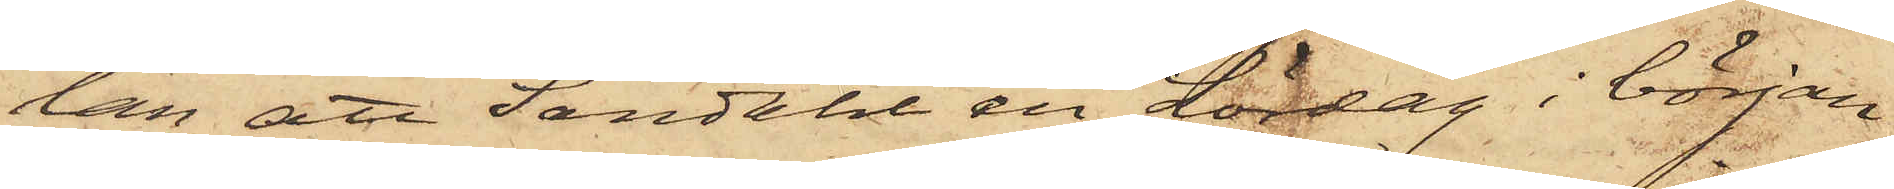lan, att Sandahl en Lördag i början
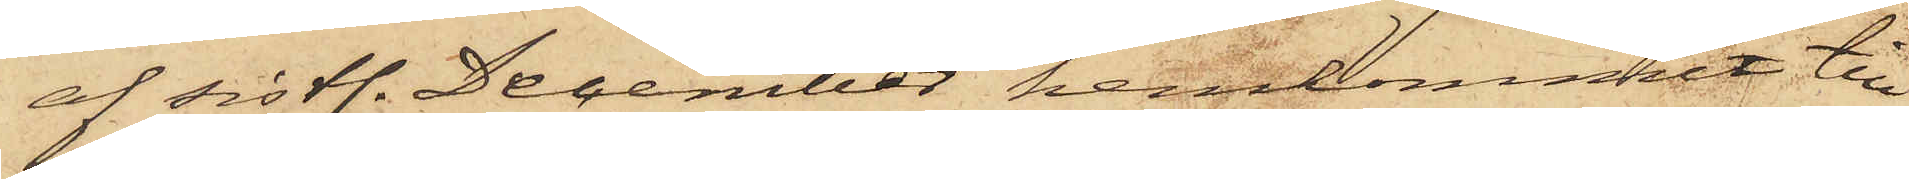af sistl. December hemkommit till
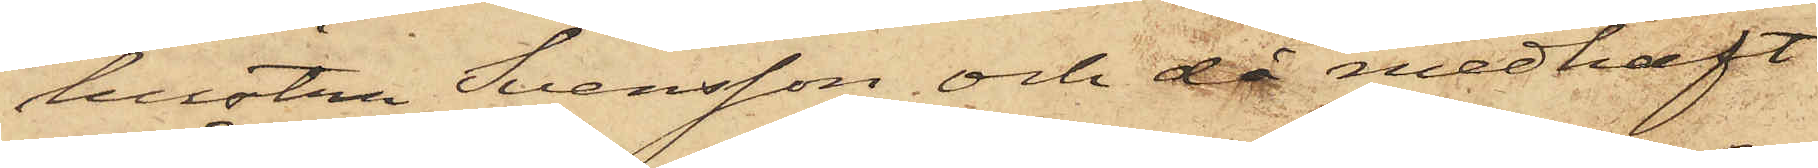hustru Svensson och då medhaft
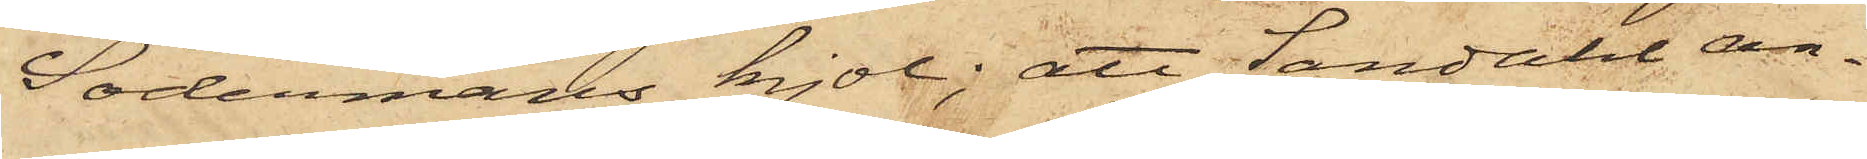Södermans kjol; att Sandahl an¬
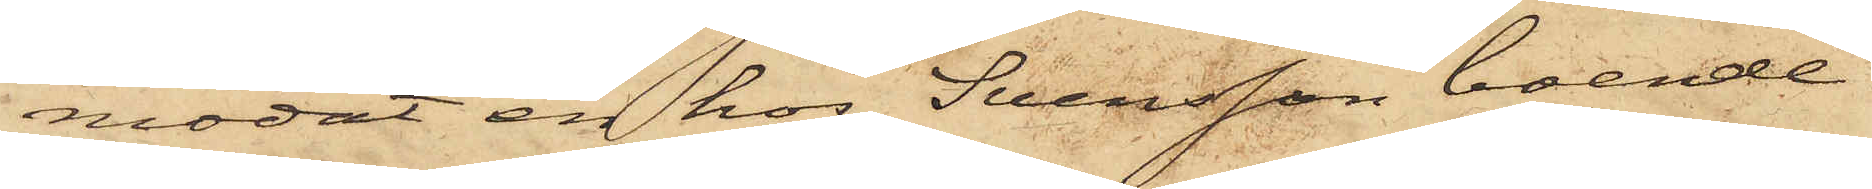modat en hos Svensson boende
